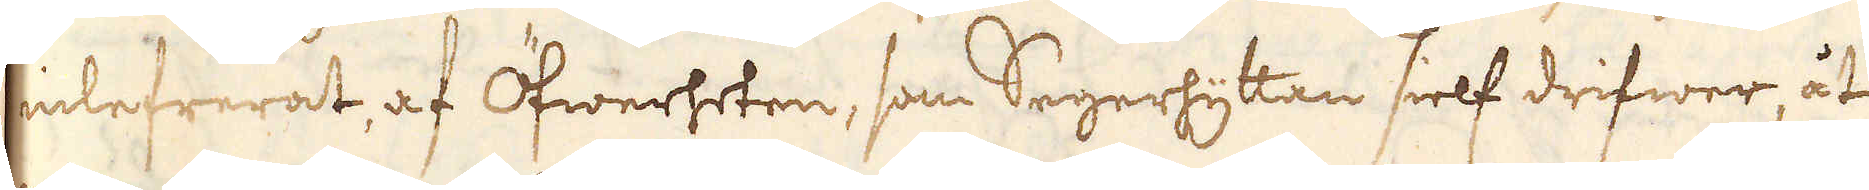inlefrerat, af Öfwerheten, som Segerhyttan sielf drifwer, åt
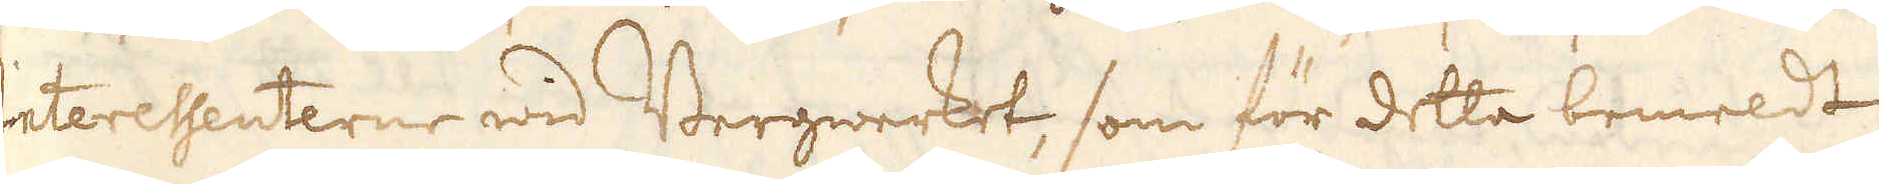Interesenterne wid Bergwerket, som för detta bemeldt
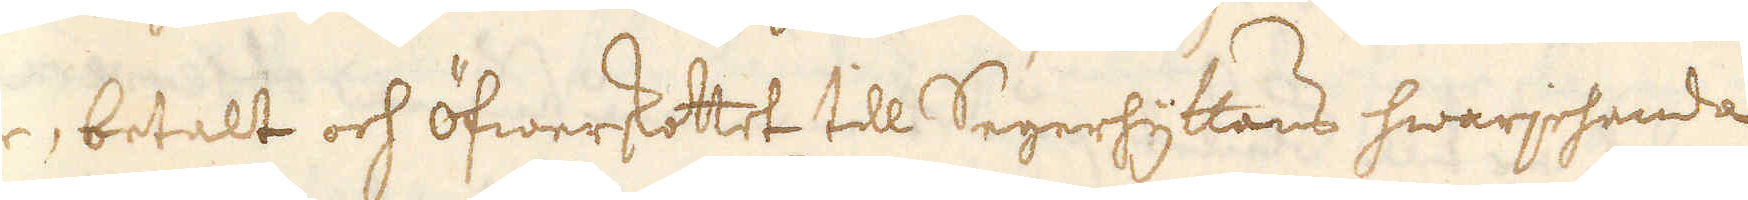är, betalt och öfwerskottet till Segerhyttans hwarjehanda
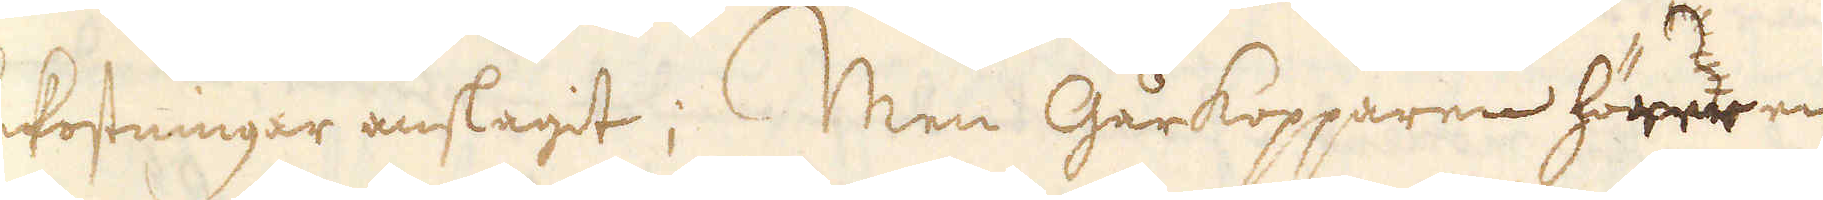bekostningar anslagit; Men Gårkopparen hörde en
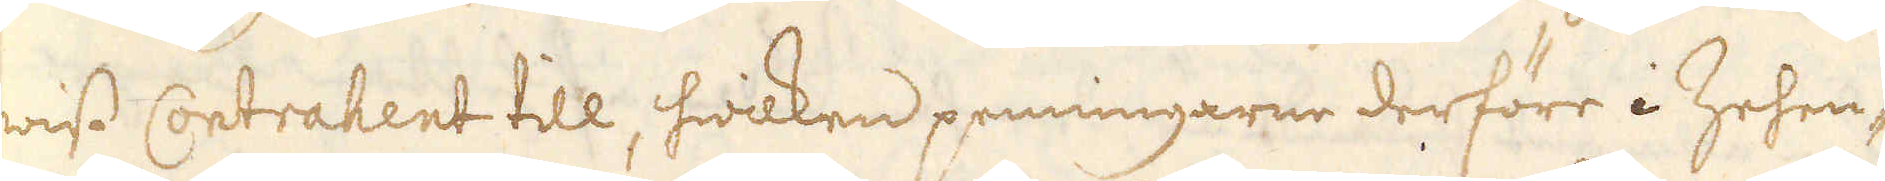wiss Contrahent till, hwilken penningarne derföre i Zehen-
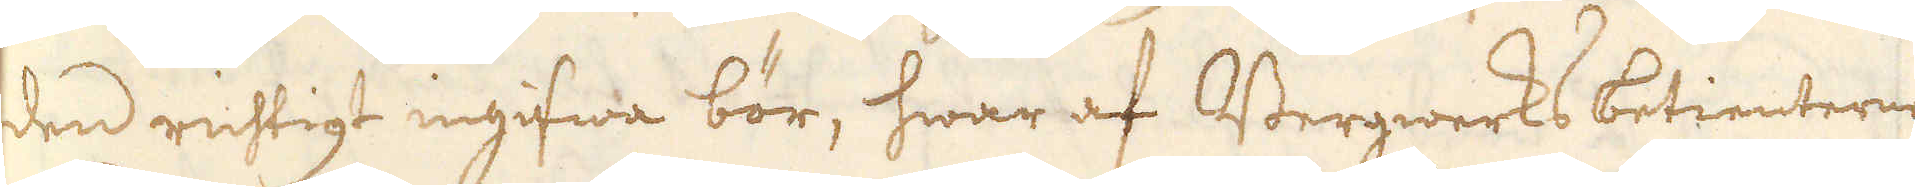den richtigt ingifwa bör, hwar af Bergwerks betienterne
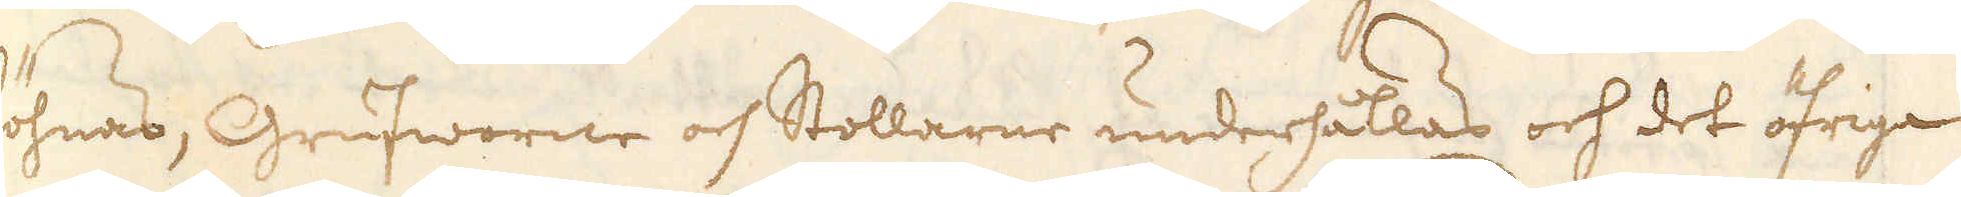löhnas, Grufworne och Stollarne underhållas och det öfriga
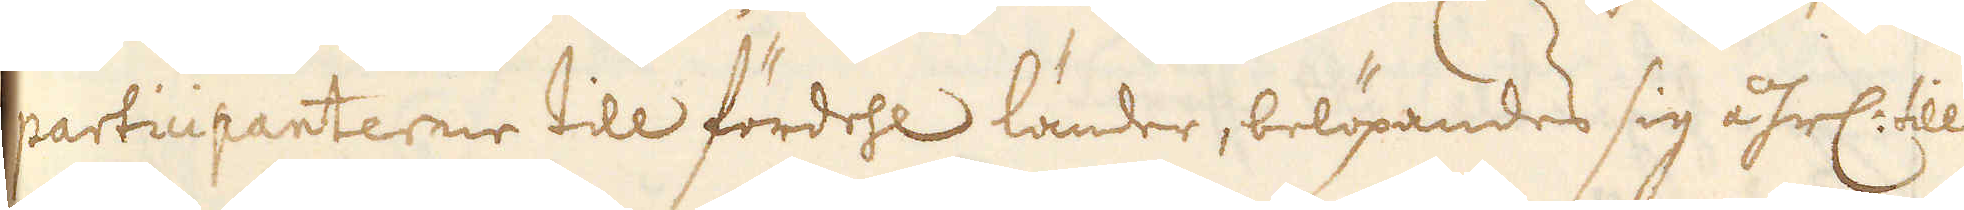participanterne till fördehl länder, belöpandes sig åhrl. till
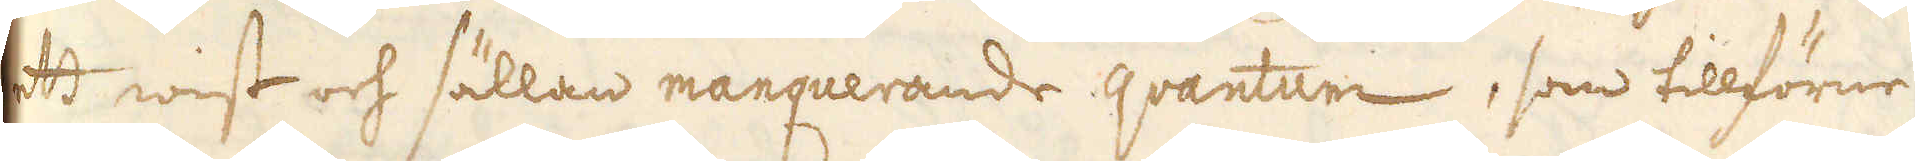att wist och sällan manquerande qvantum, som tillförne
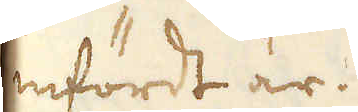infördt är.
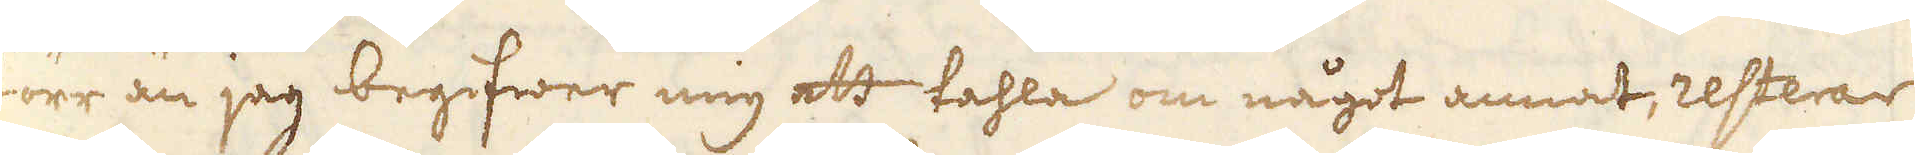Förr än jag begifwer mig att tahla om något annat, resterar
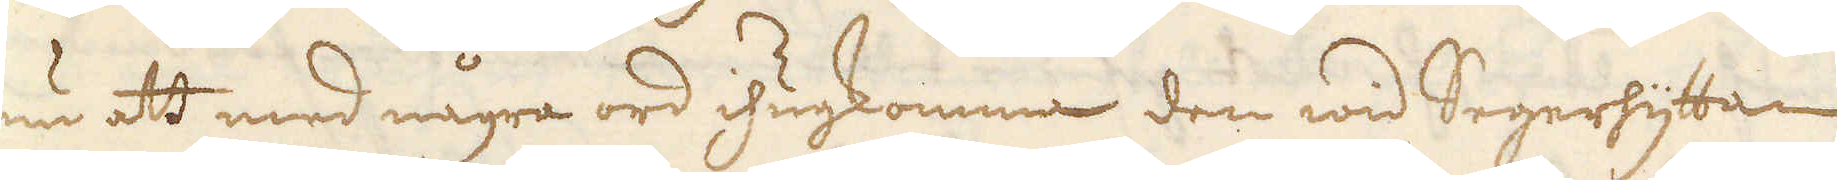ännu att med några ord ihugkomma den wid Segerhyttan
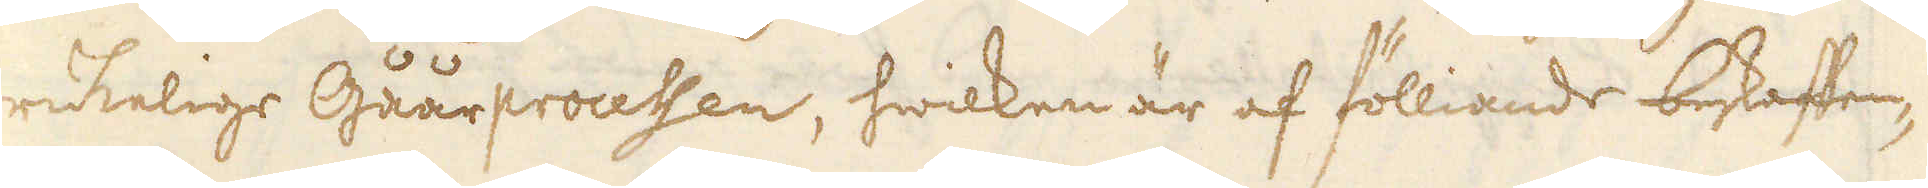brukelige Gåårprocessen, hwilken är af fölliande beskaffen-
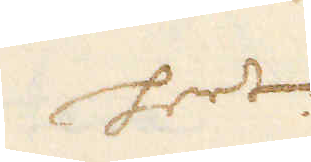heet
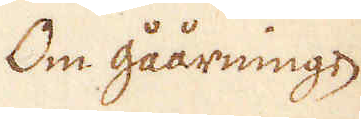Om gåårningen
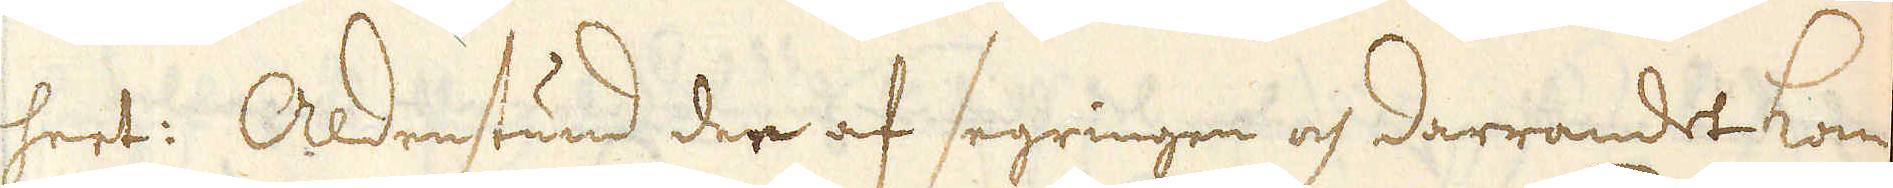hert: Aldenstund der af segringen och darrandet kom-
